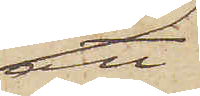att
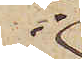i
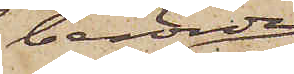berörda
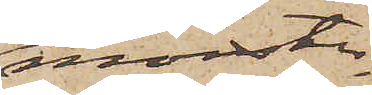mönster¬
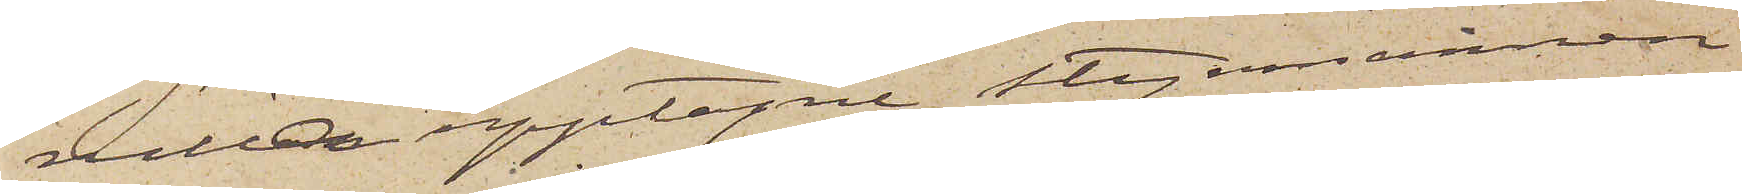rullan upptagne styrmannen
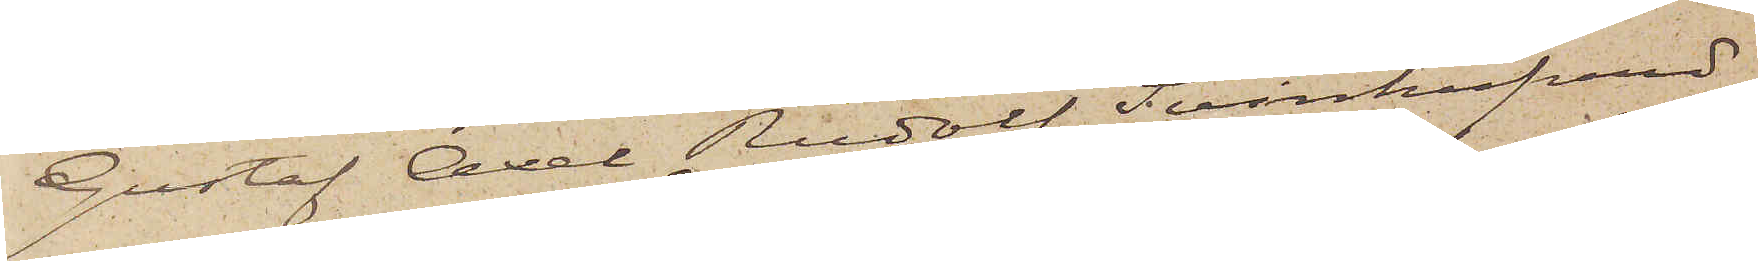Gustaf Axel Rudolf Svinhufvud
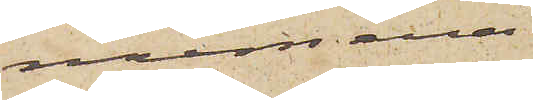numera
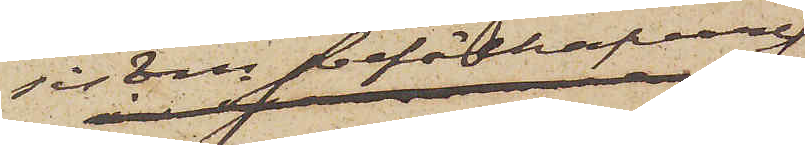såsom befälhafvare
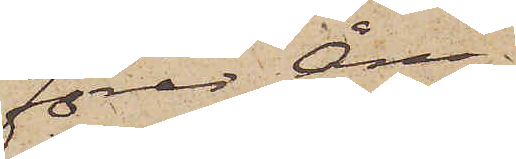förer Ång¬
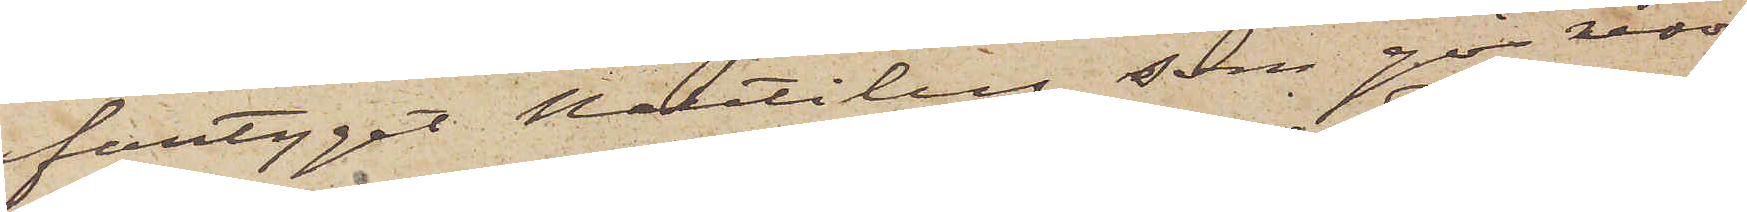fartyget Nautilus, som gör resor
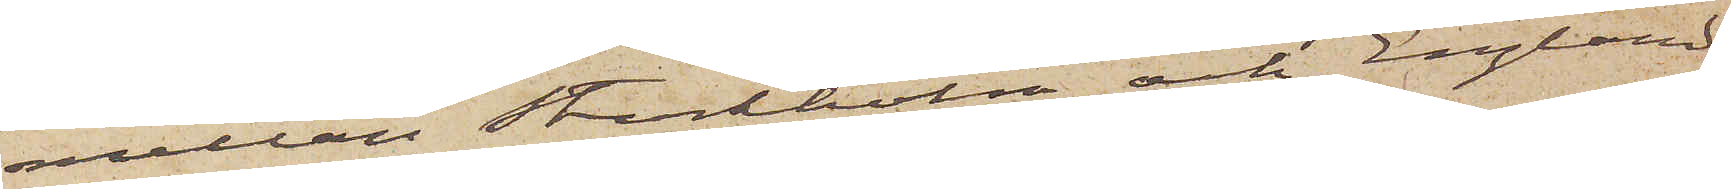mellan Stockholm och England,
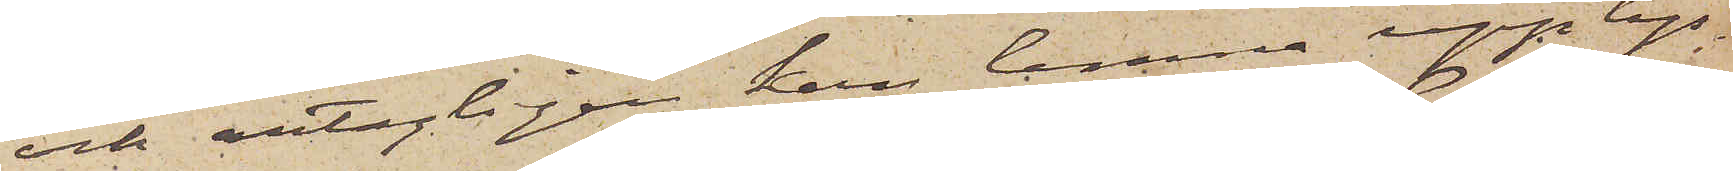och antagligen kan lemna upplys¬
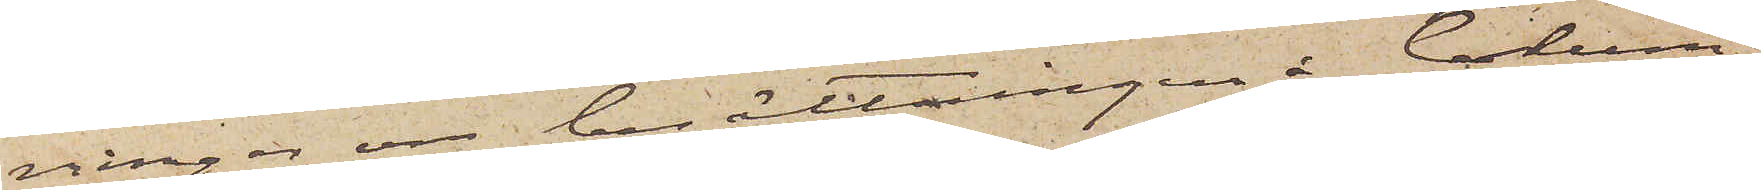ningar om berättningen å Colum¬
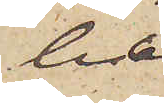ba.
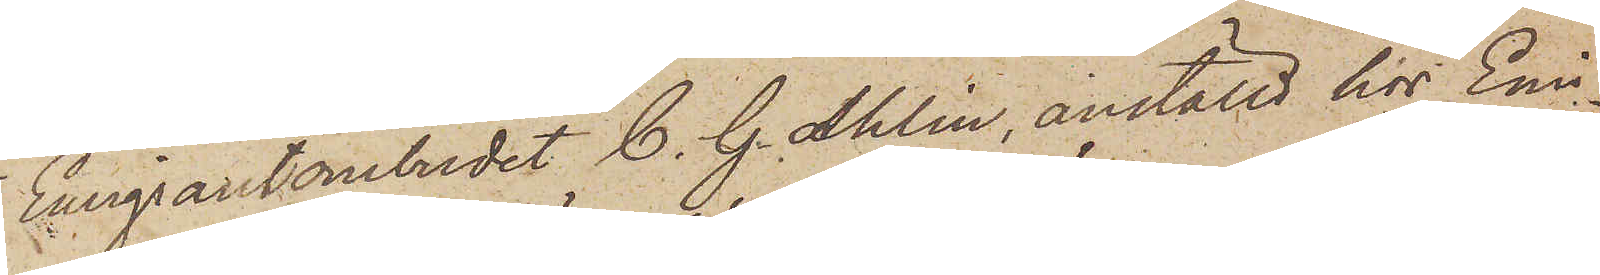Emigrantombudet C. G. Ahlin, anställd hos Emil¬
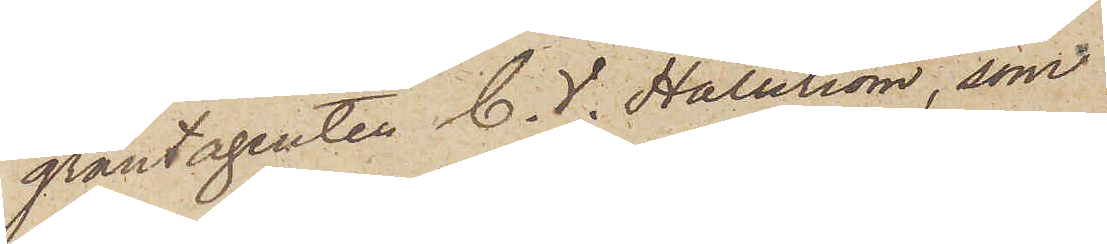grantagenten C. V. Hallström, som
